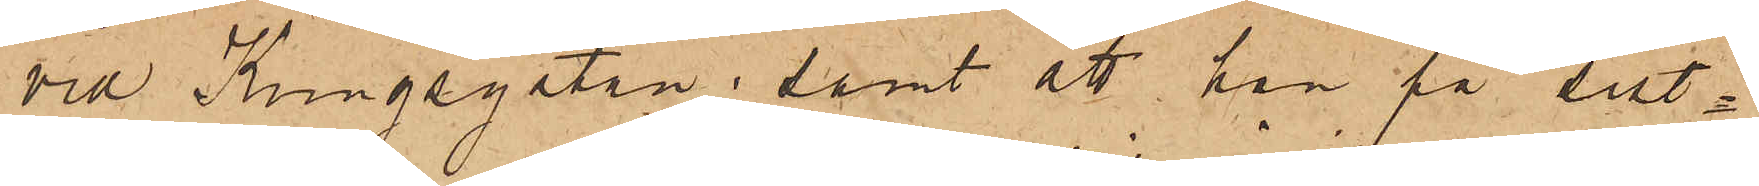vid Kungsgatan; samt att han på sist¬
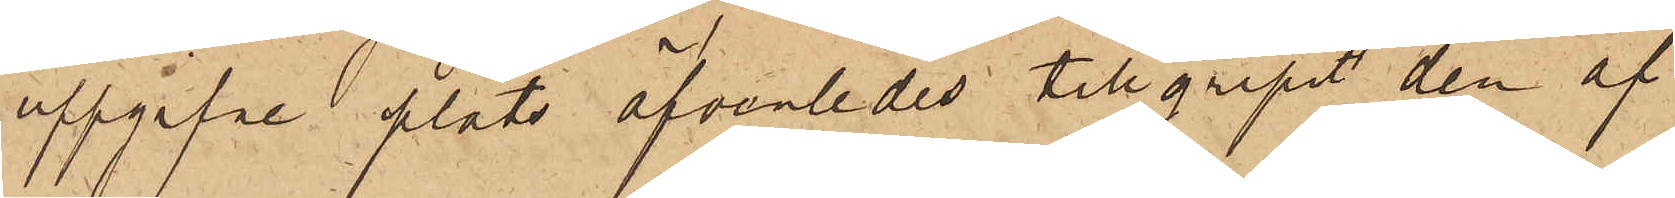uppgifne plats äfvenledes tillgripit den af
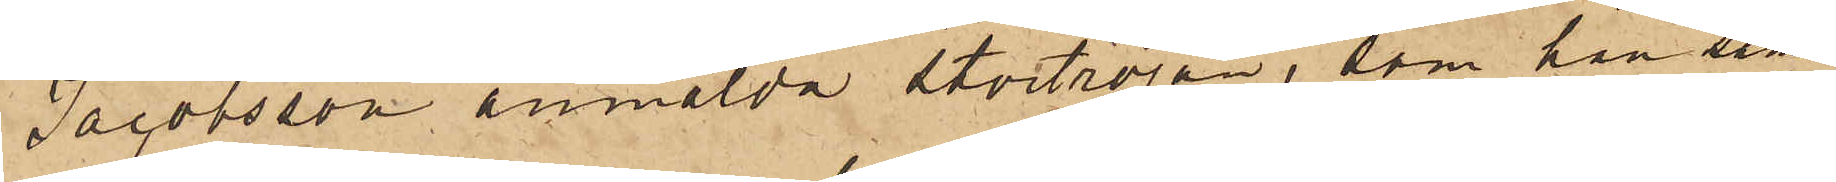Jacobsson anmälda stortröjan, som han sam¬
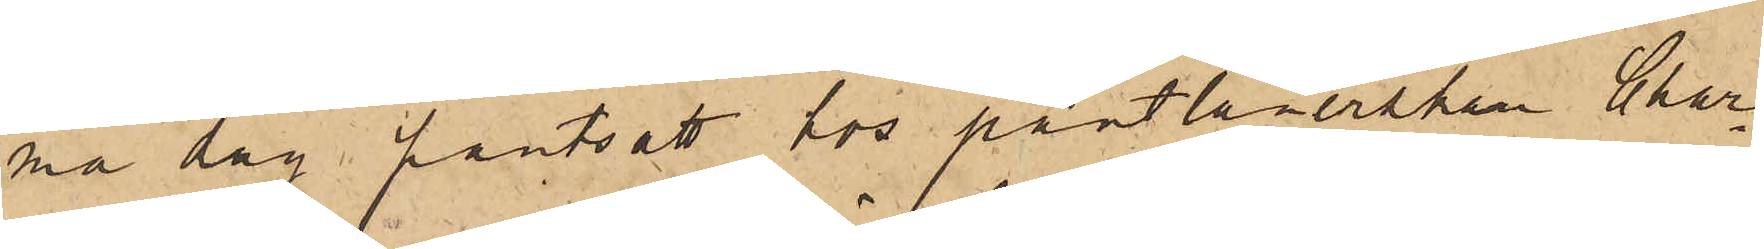ma dag pantsatt hos pantlånerskan Char¬
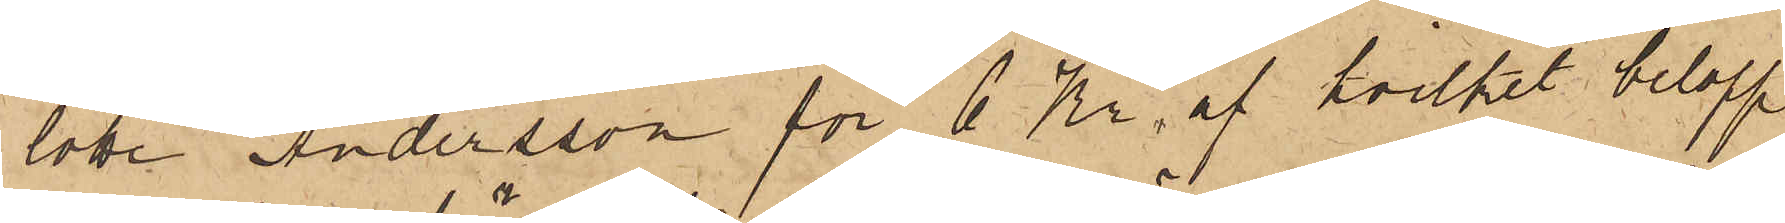lotte Andersson för 6 Kr, af hvilket belopp
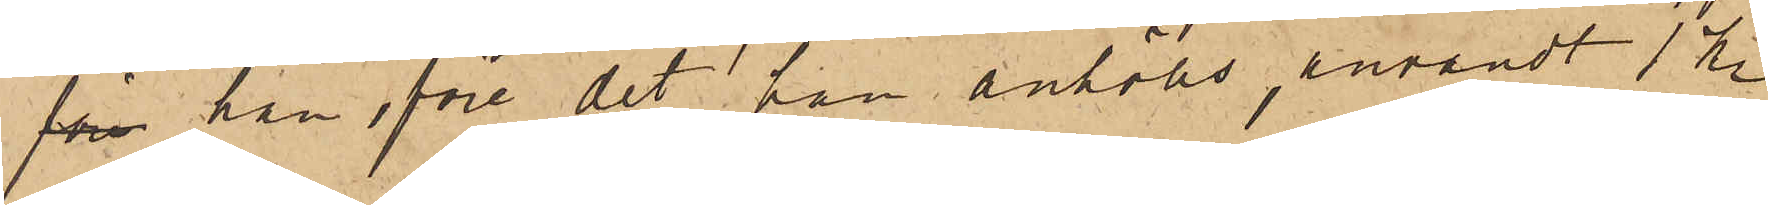före han före det han anhölls, användt 1 kr
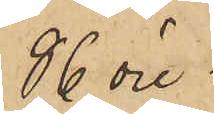86 öre.
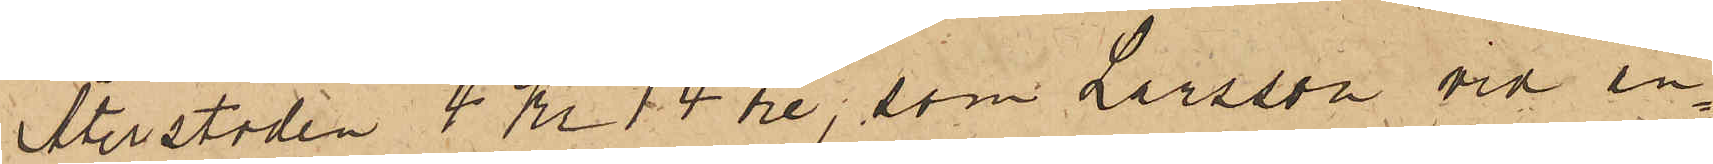Återstoden 4 Kr 14 öre, som Larsson vid an¬
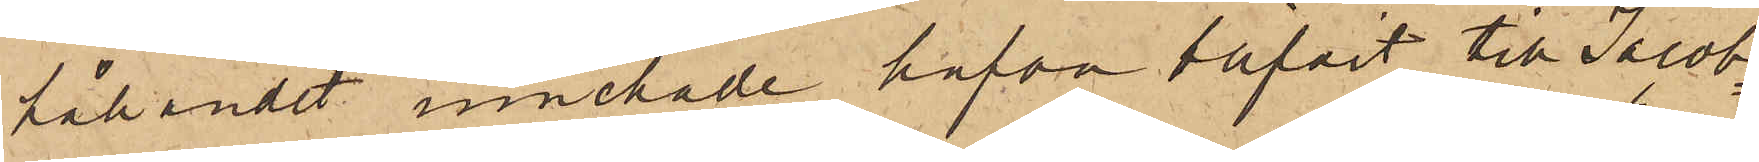hållandet innehade hafva blifvit till Jacob¬
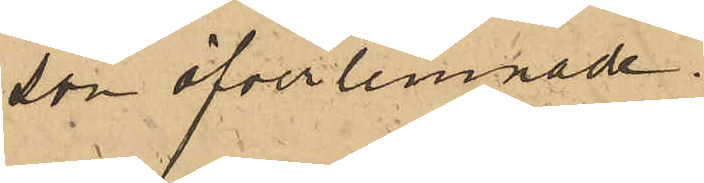son öfverlemnade.
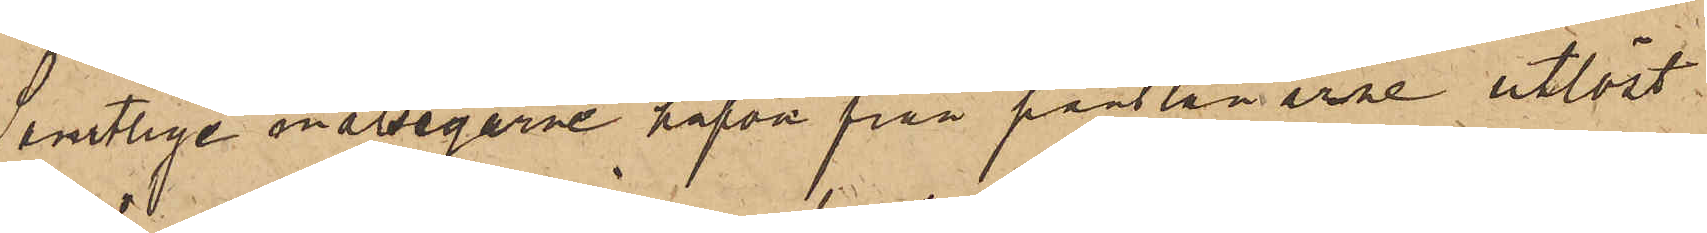Samtlige målsegarne hafva från pantlånarne utlöst
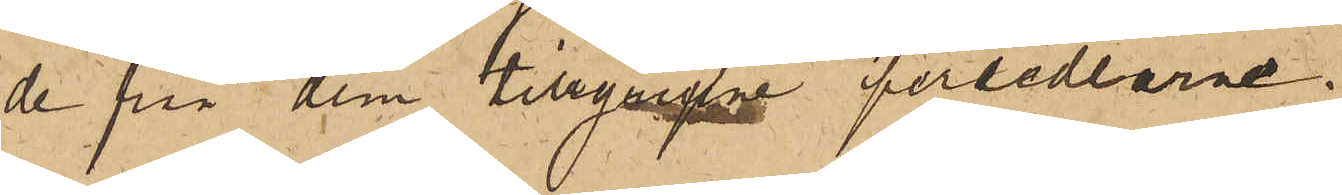de på dem tillgrepp persedlarne.
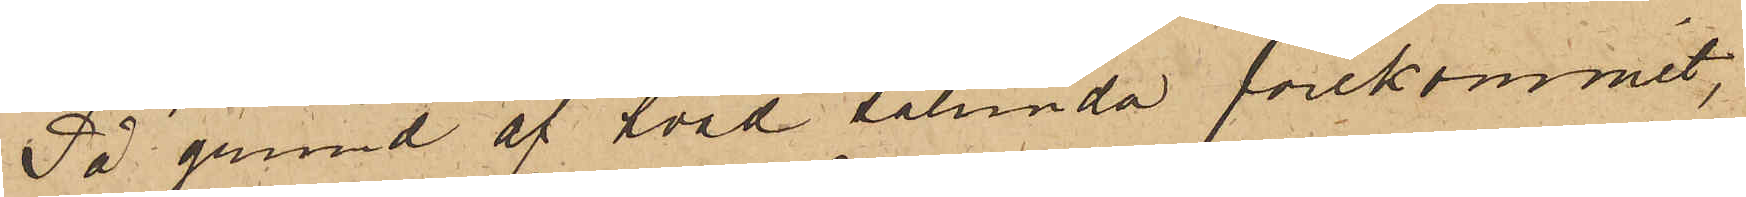På grund af hvad sålunda förekommit,
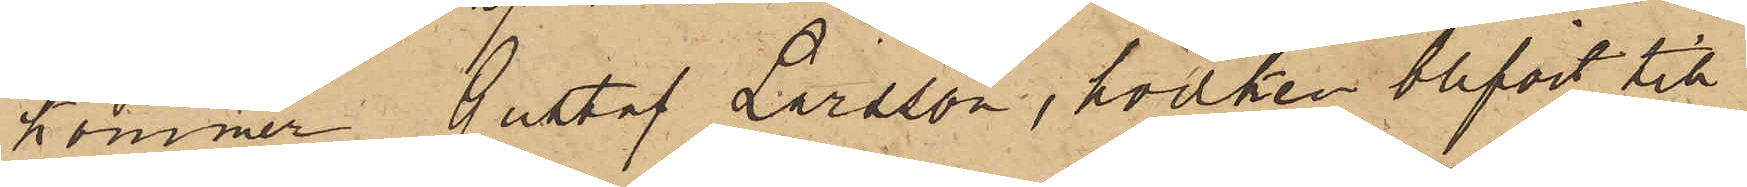kommer Gustaf Larsson, hvilken blifvit till
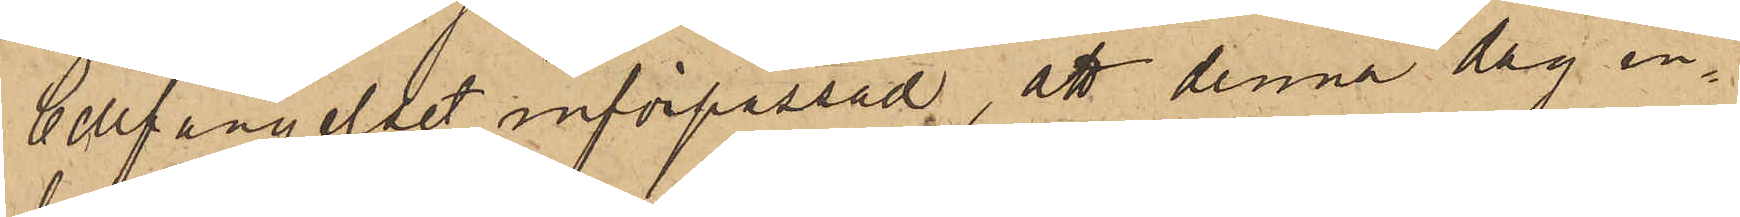Cellfängelset införpassad, att denna dag in¬
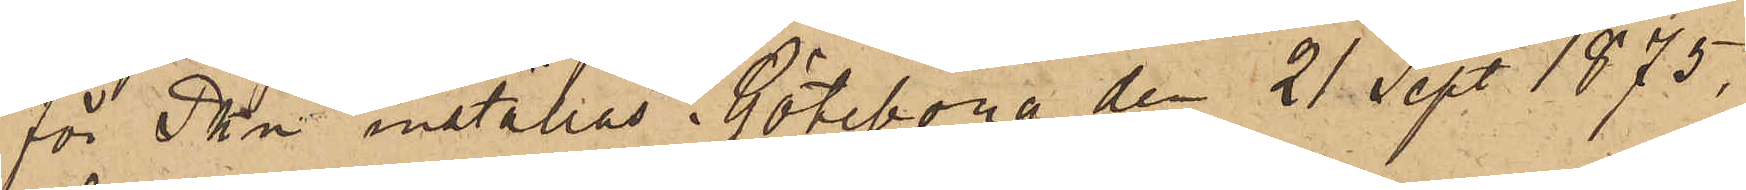för Pkn inställas. Göteborg den 21 Sept. 1875,
